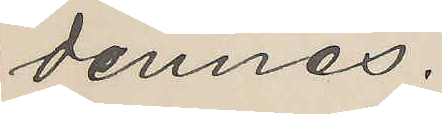dennes.
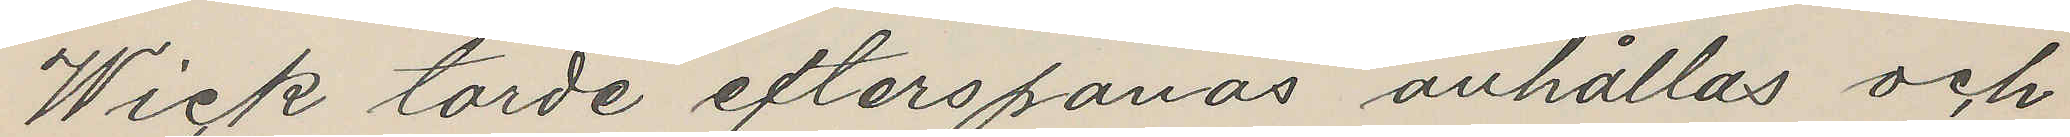Wick torde efterspanas anhållas och
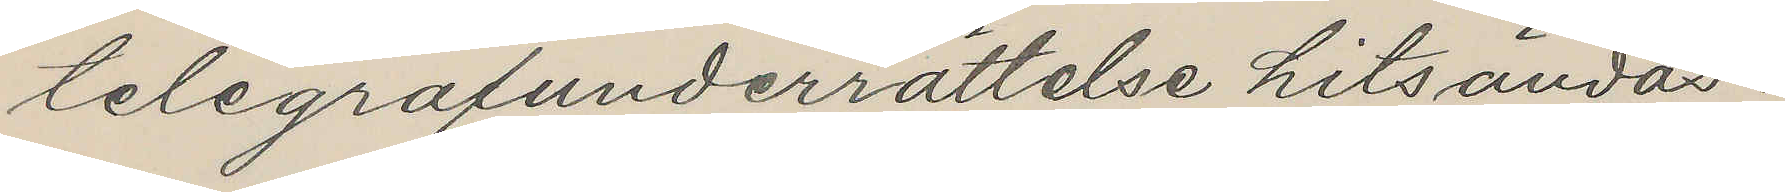telegrafunderrättelse hitsändas.
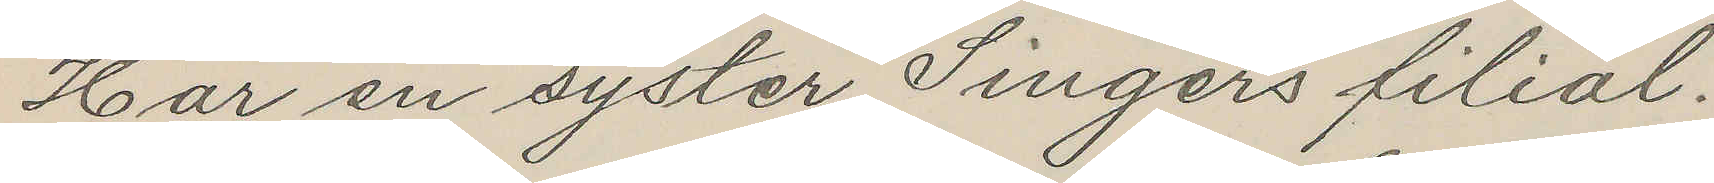Har en syster Singers filial.
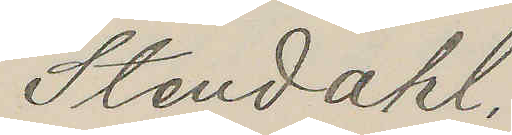Stendahl.
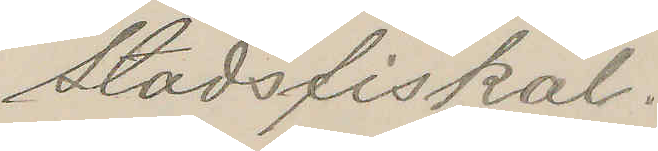Stadsfiskal.
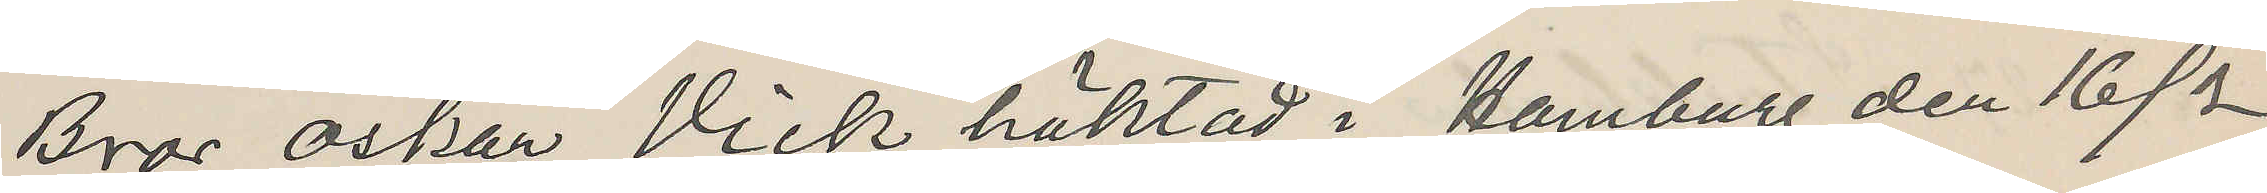Bror Oskar Vick häktad i Hamburg den 16/2
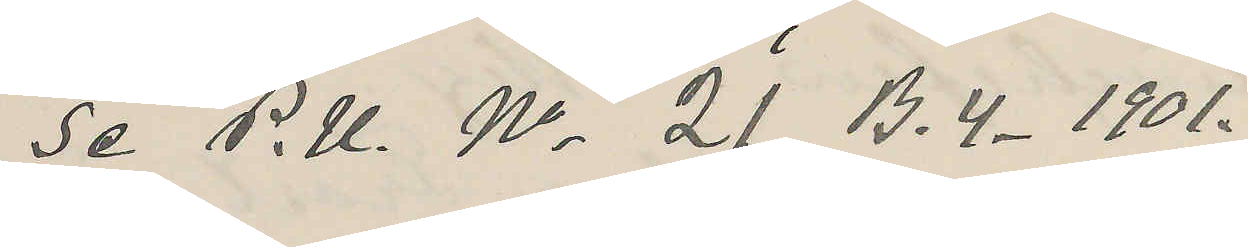Se P. U. No 21 B. 4-1901.
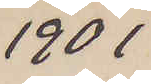1901
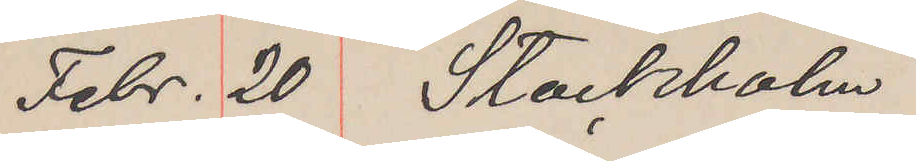Febr. 20 Stockholm
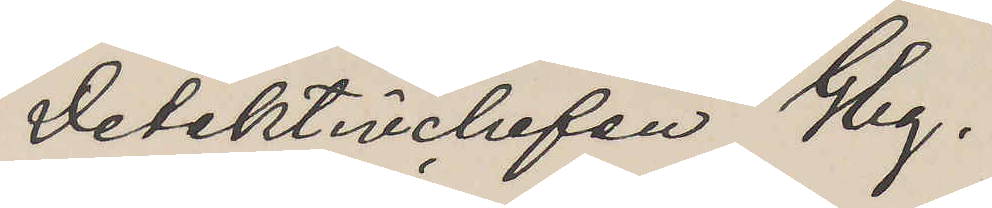Detektivchefen Gbg.
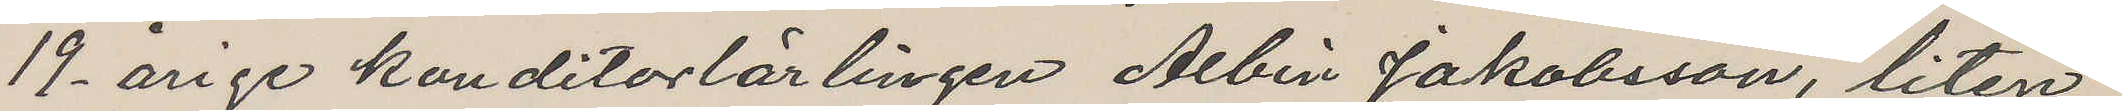19-årige konditorlärlingen Albin Jakobsson, liten,
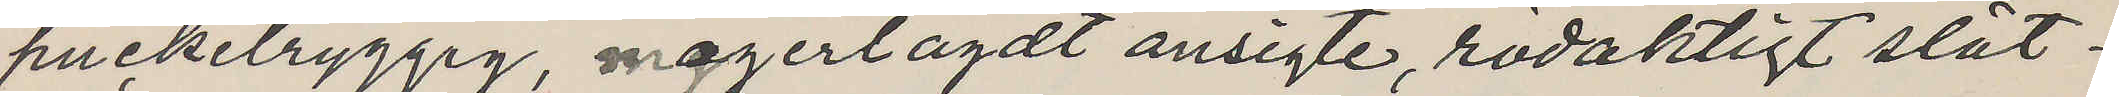puckelryggig, magerlagdt ansigte, rödaktigt slät¬
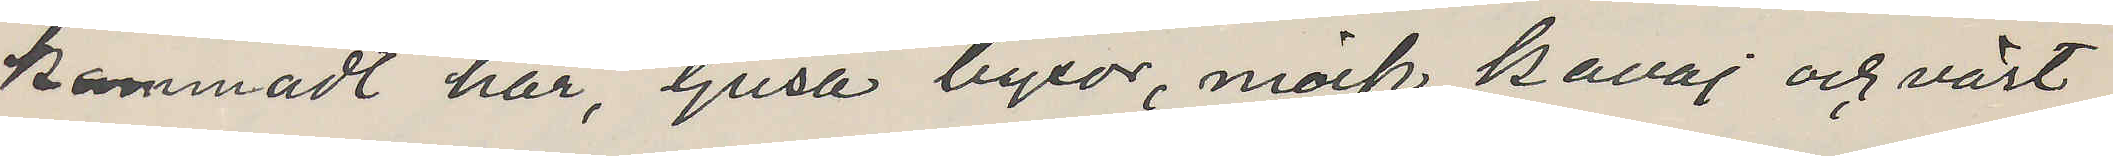kammadt hår, ljusa byxor, mörk kavaj och väst,
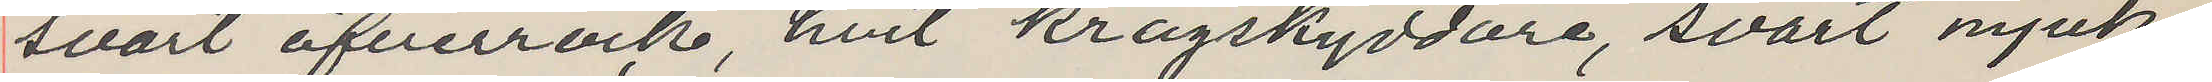svart öfverrock, hvit kragskyddare, svart mjuk
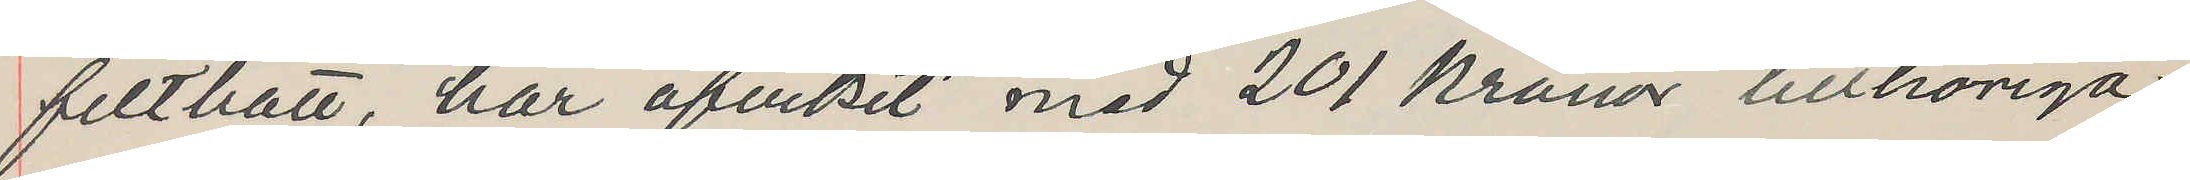filthatt, har afvikit med 201 Kronor tillhöriga
